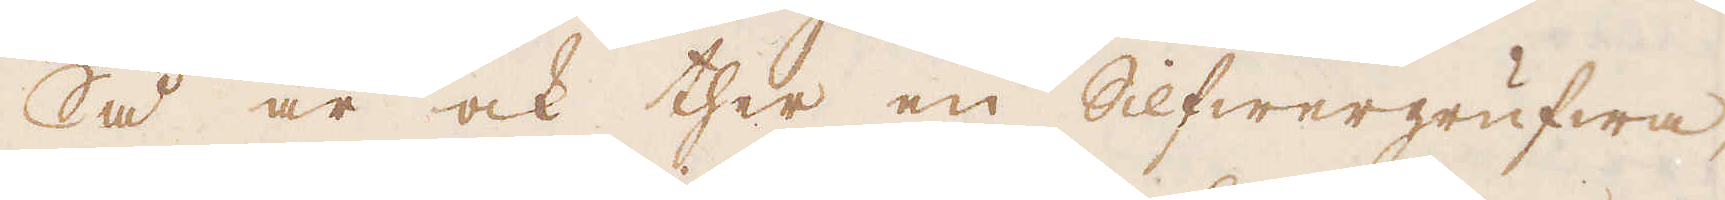Så är ock ther en Silfwergrufwa,
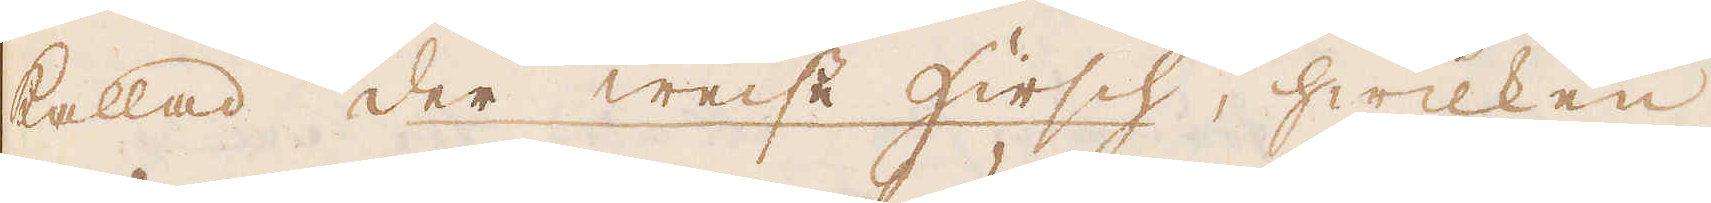kallad der Weise Hirsch, hwilken
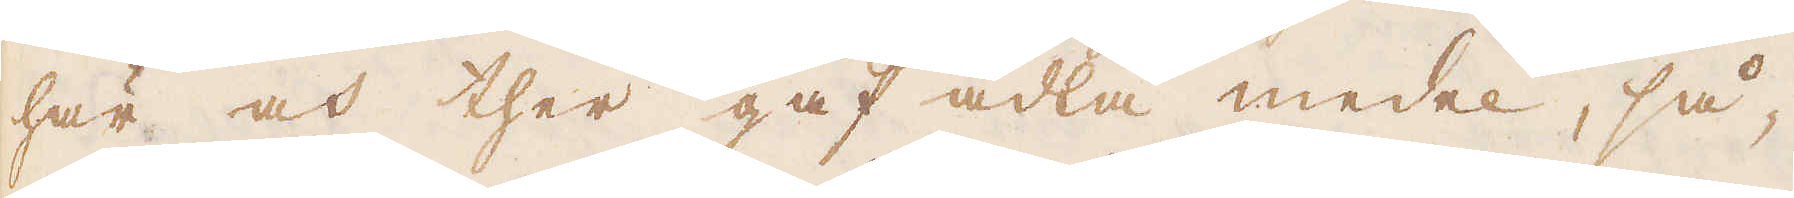här och ther gaf ädla medel, så-
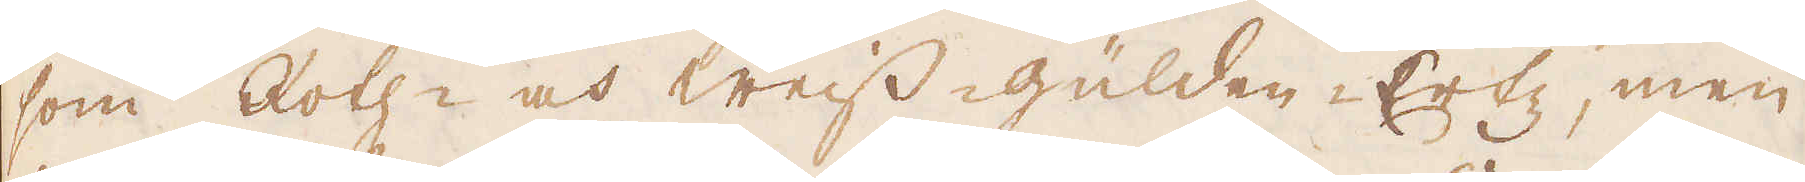som Roth- och weiss-gülden-Ertz, men
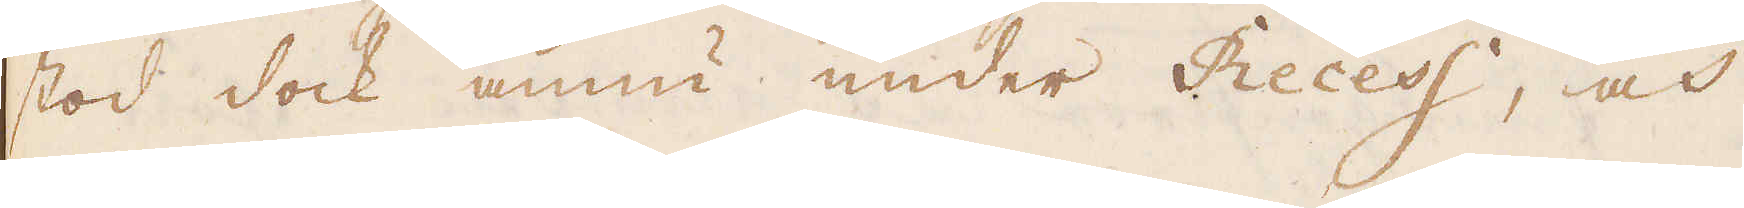stod dock ännu under Recess, och
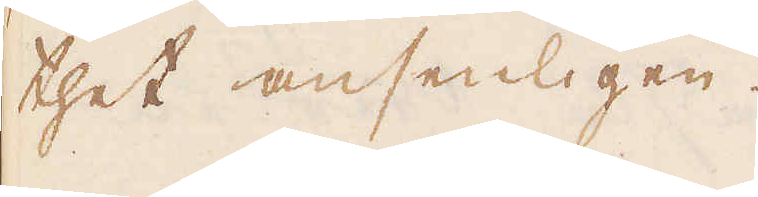thet ansenligen.
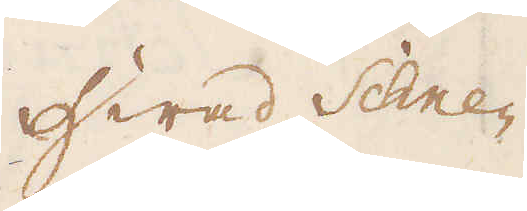Hwad Schne-
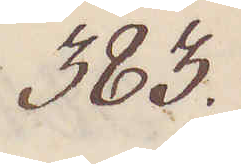383.
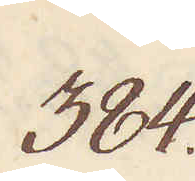384.
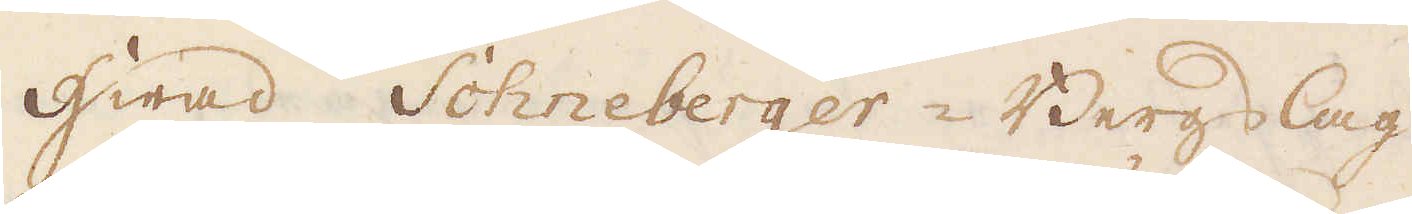Hwad Schneberger-Bergslag
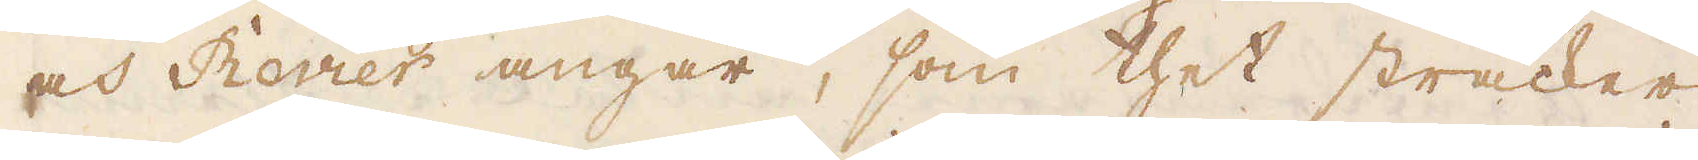och Revier angår, som thet sträcker
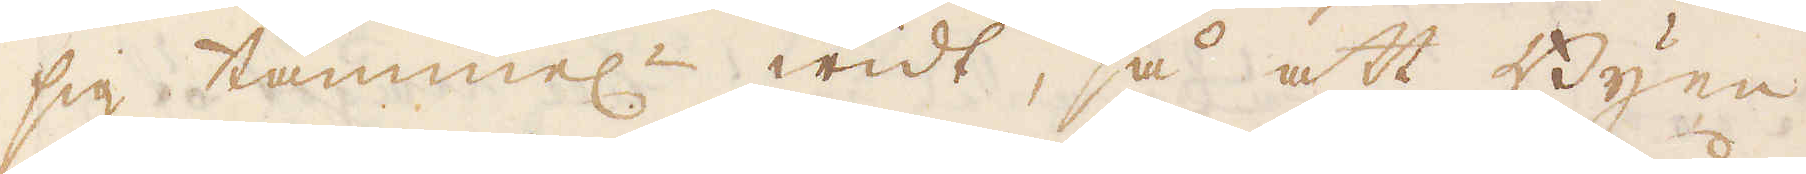sig tämmel:n widt, så att Byen
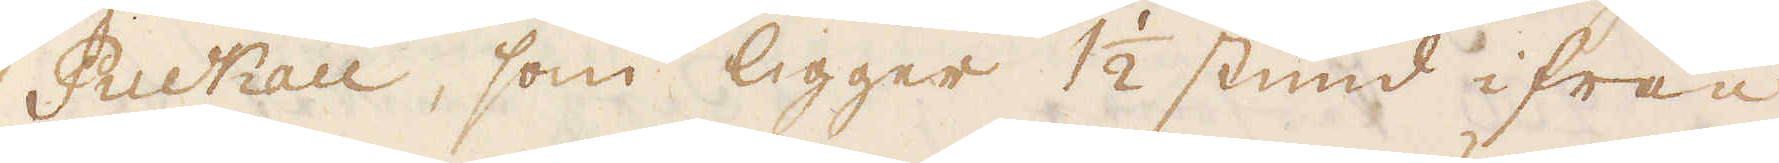Ruckau, som ligger 1 1/2 stund ifrån
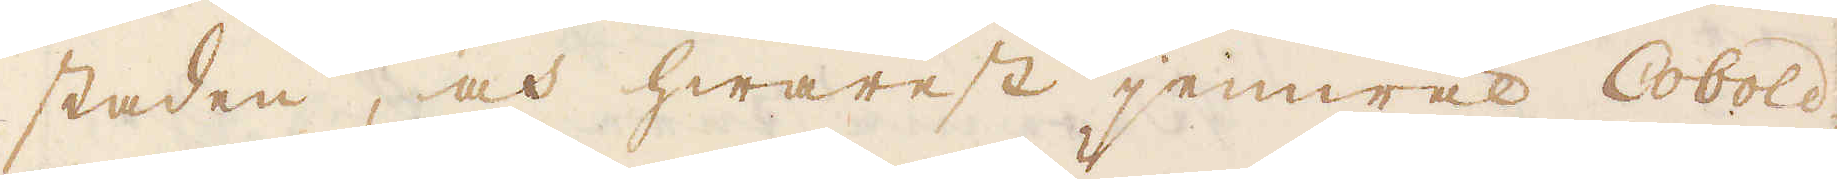staden, och hwarest jemwäl Cobold-
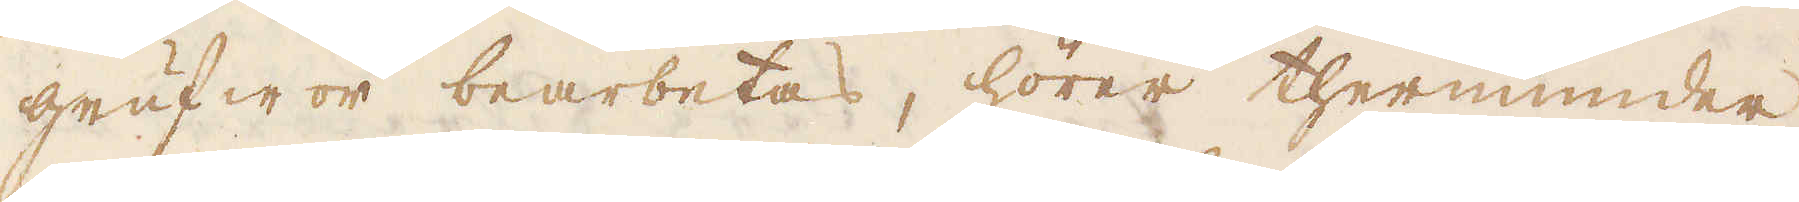grufwor bearbetas, hörer thernunder-
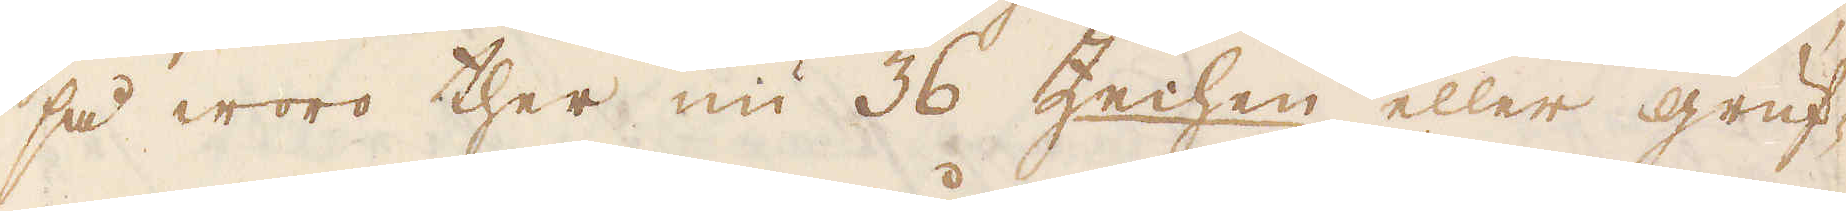så woro ther nu 36 Zechen eller gruf-
